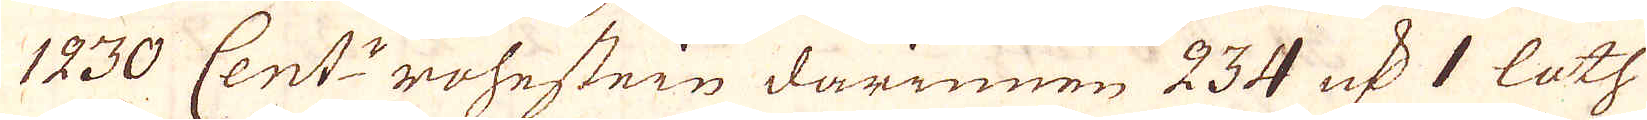1230 Cent:r rohestein darinnen 234 qv:r 1 loth
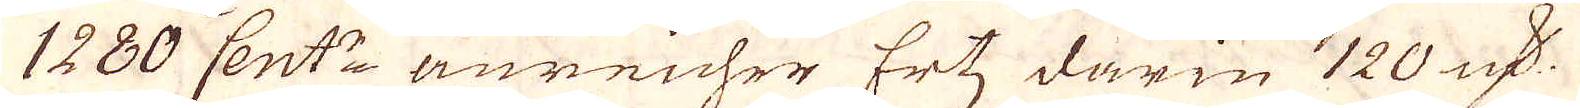1280 Cent:r anreicher Ertz darin 120 qv:r
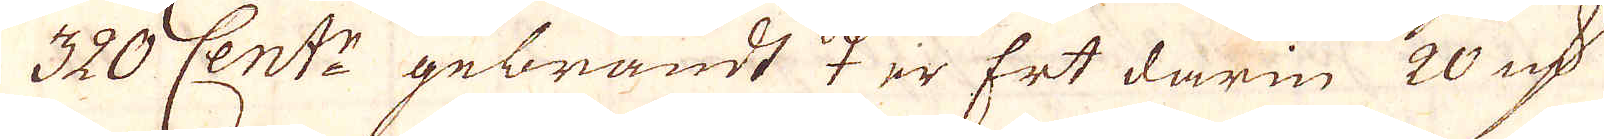320 Cent:z gebrandt ♀ ir Ert darin 20 qv:r
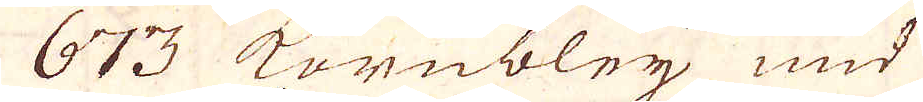673 Kornbleij und
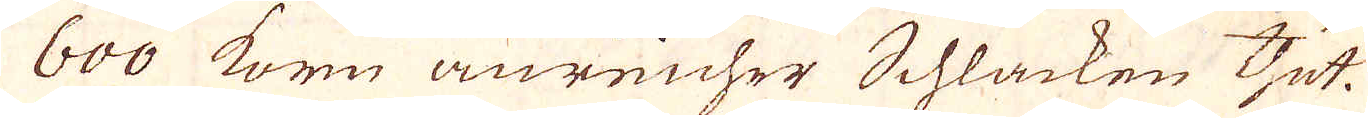600 Korn anreicher Schlacken thut.
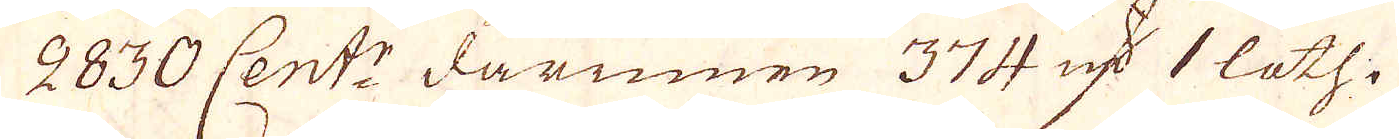2830 Cent:r darinnen 374 qv:r 1 loth
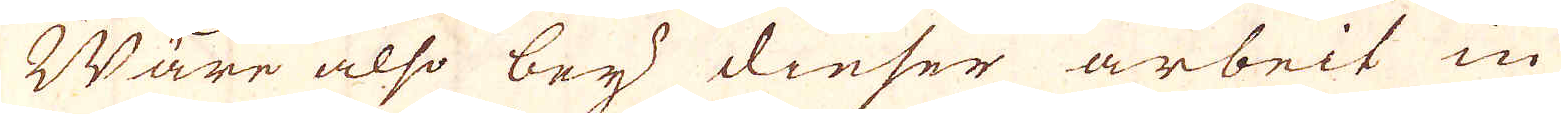Ware also bey dieser arbeit in
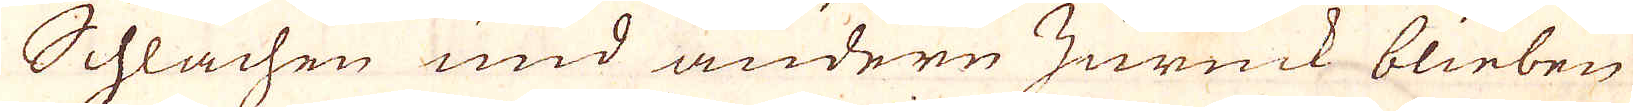Schlachen und andere zurück blieben
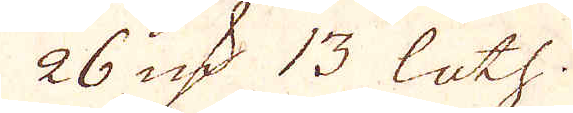26 qv:r 13 loth.
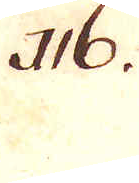116.
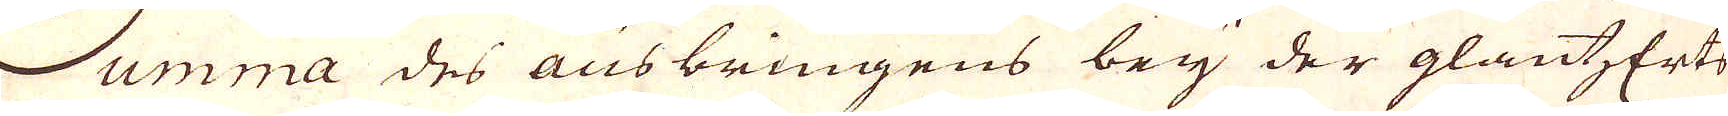Summa des ausbringens bey der glantzerts
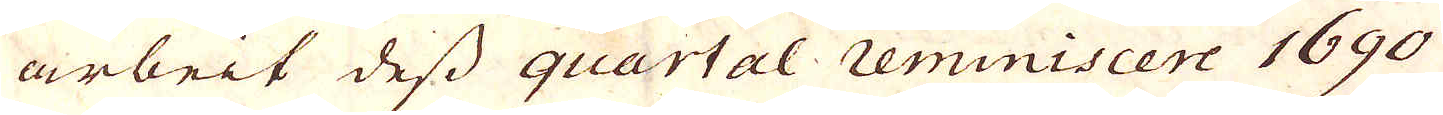arbeit dess quartal reminiscere 1690
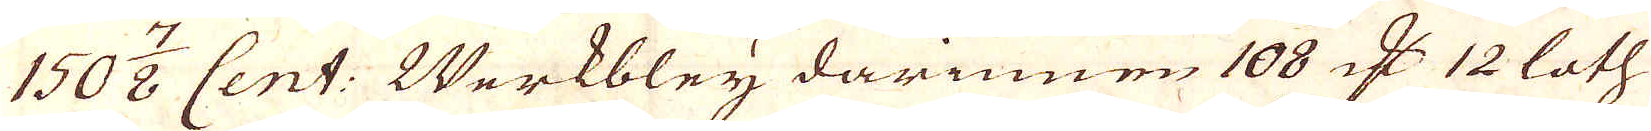150 7/8 Cent: Werkbleij darinnen 108 qv:r 12 loth
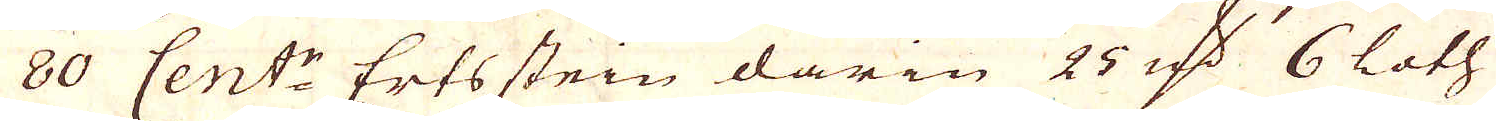80 Cent:r Erts stein darin 25 qv:r 6 loth
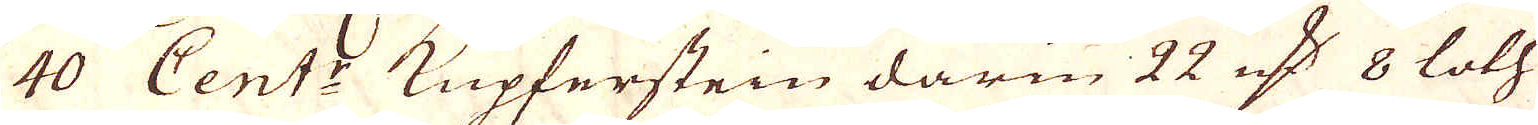40 Cent:r Kupferstein darin 22 qv:r 8 loth
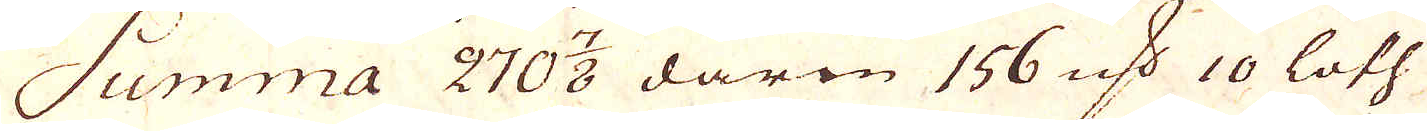Summa 270 7/8 darin 156 qv:r 10 loth
